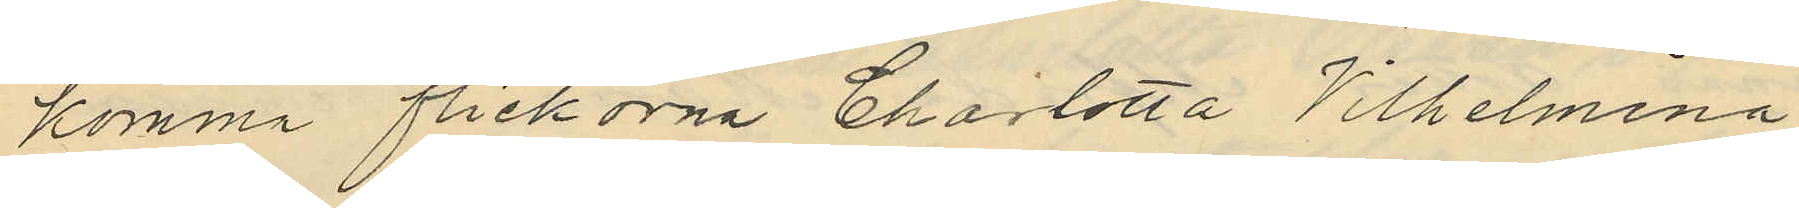komma flickorna Charlotta Vilhelmina
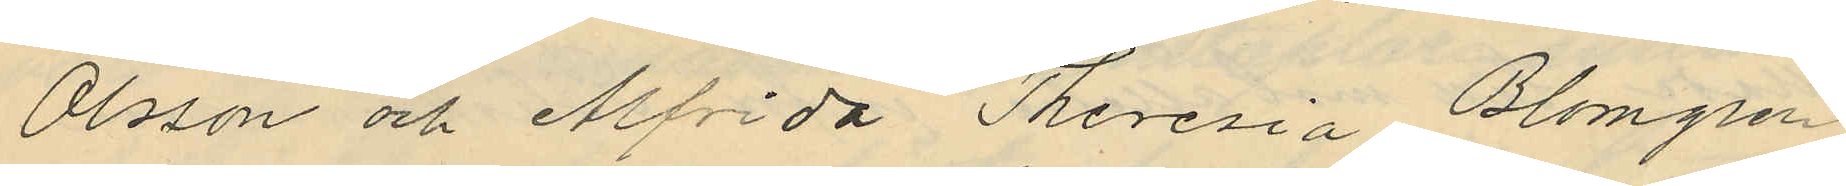Olsson och Alfrida Theresia Blomgren
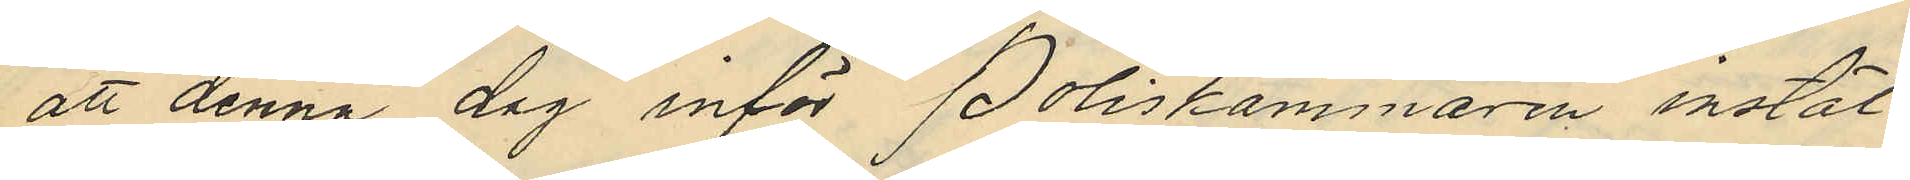att denna dag inför Poliskammaren instäl¬
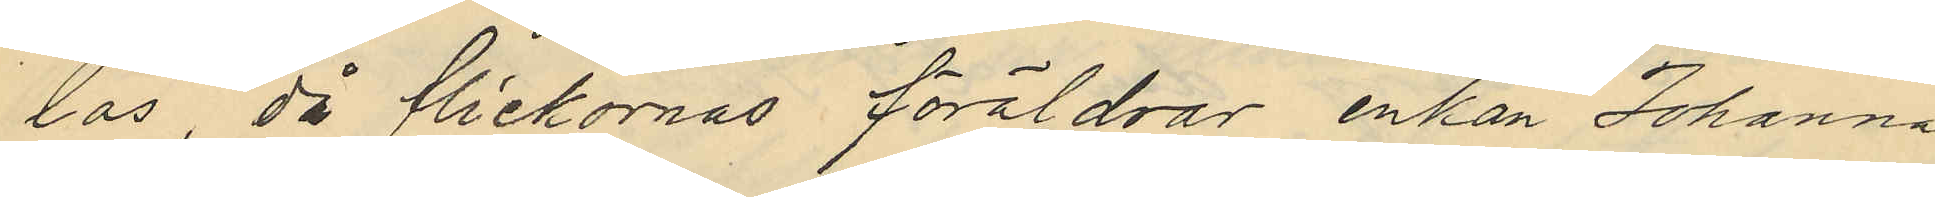las, då flickornas föräldrar, enkan Johanna
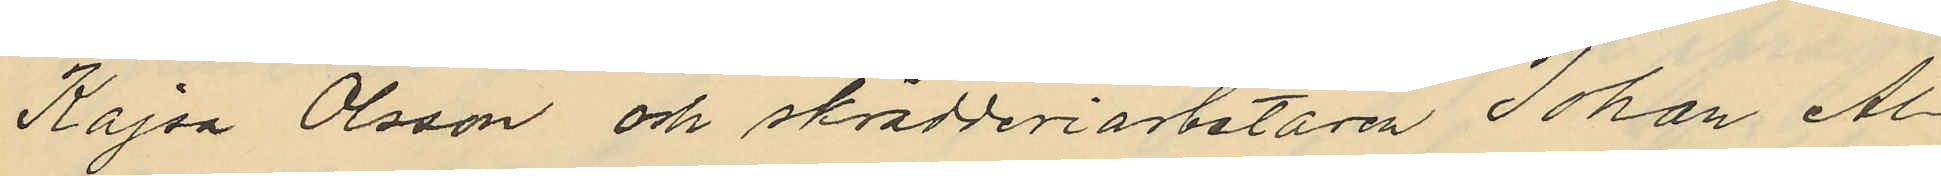Kajsa Olsson och skrädderiarbetaren Johan Al¬
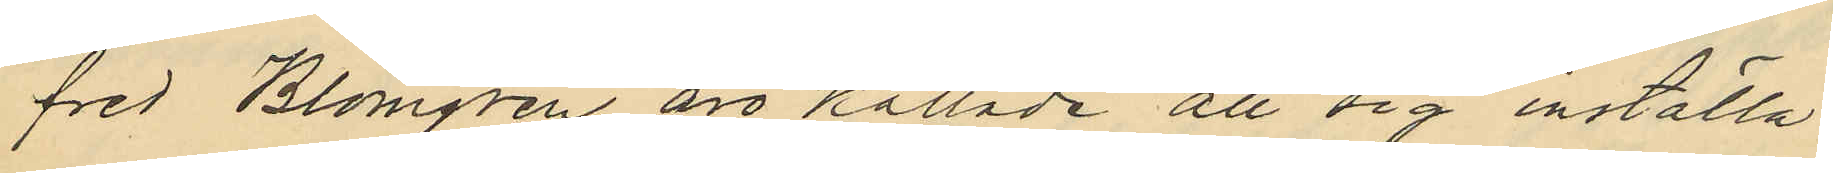fred Blomgren äro kallade att sig inställa.
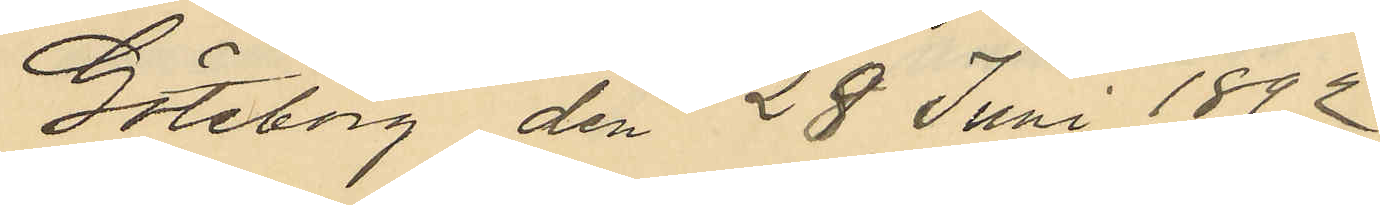Göteborg den 28 Juni 1812
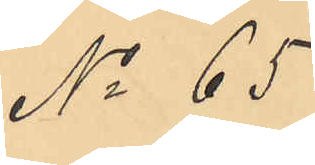No 65
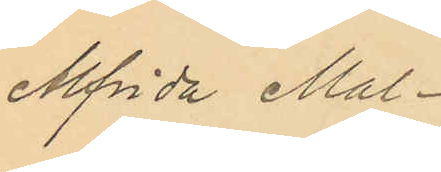Alfrida Mal¬
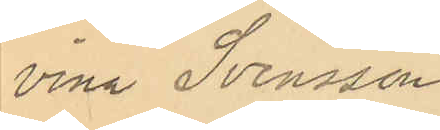vina Svensson.
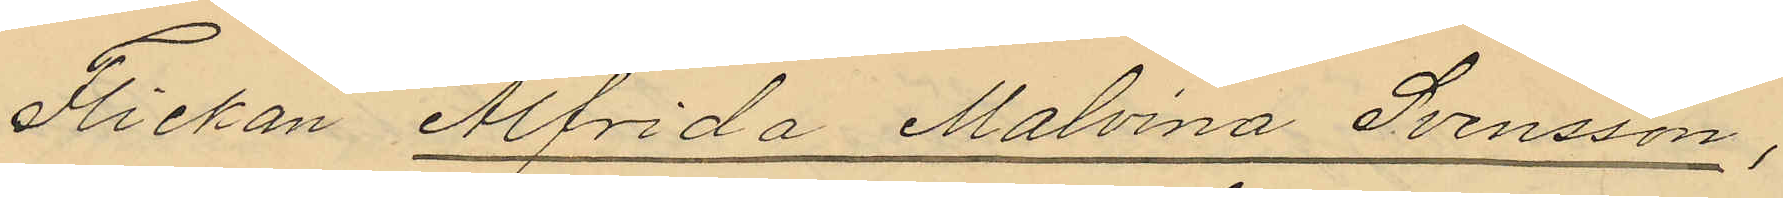Flickan Alfrida Malvina Svensson,
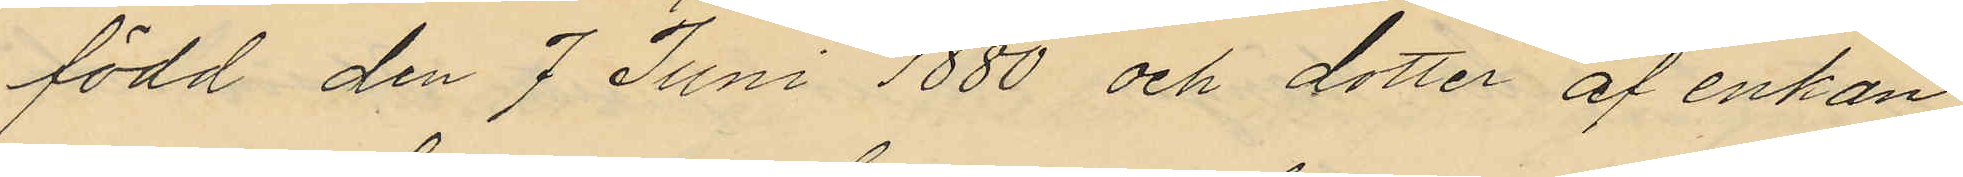född den 7 Juni 1880 och dotter af enkan
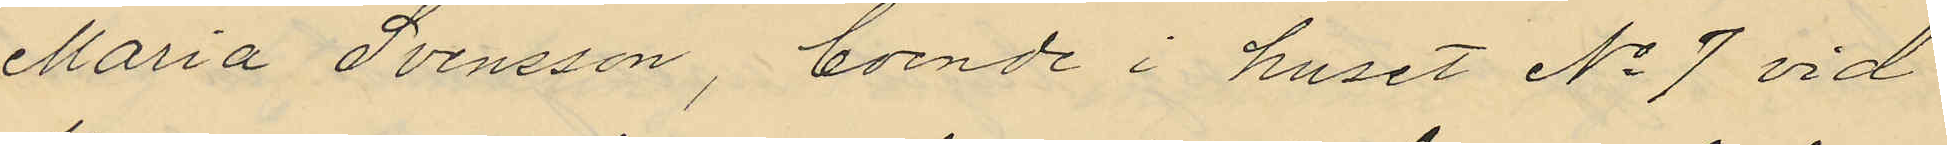Maria Svensson, boende i huset No 7 vid
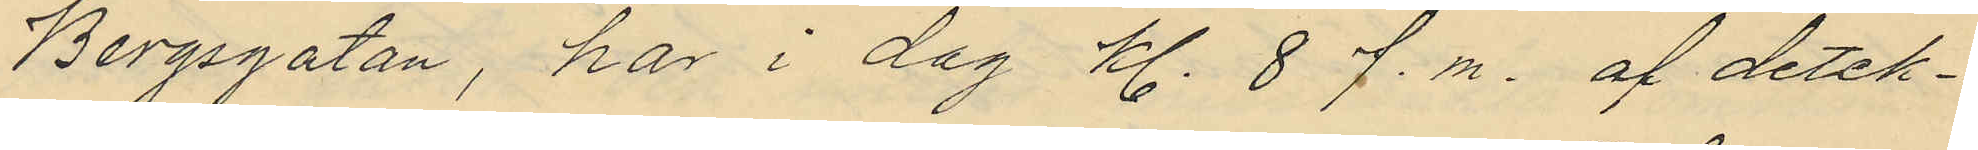Bergsgatan, har i dag kl. 8 f.m. af detek¬
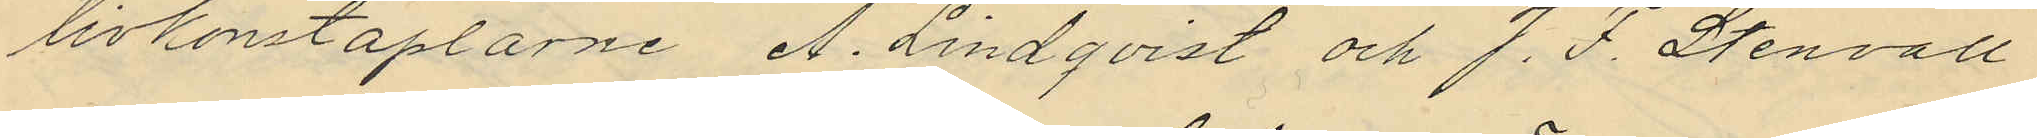tivkonstaplarne A. Lindqvist och J. F. Stenvall
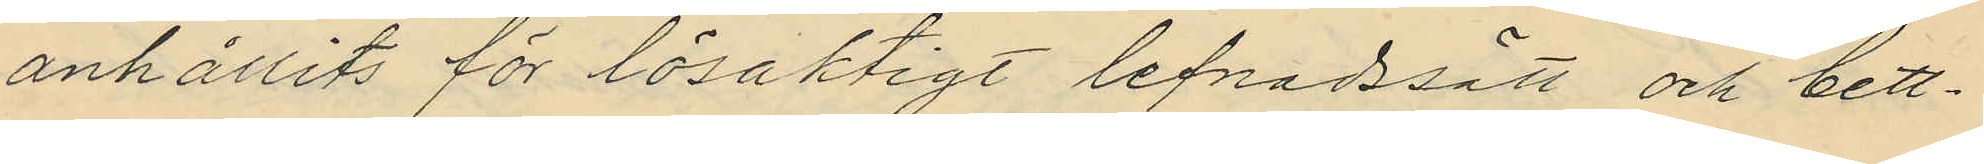anhållits för lösaktigt lefnadssätt och bet¬
